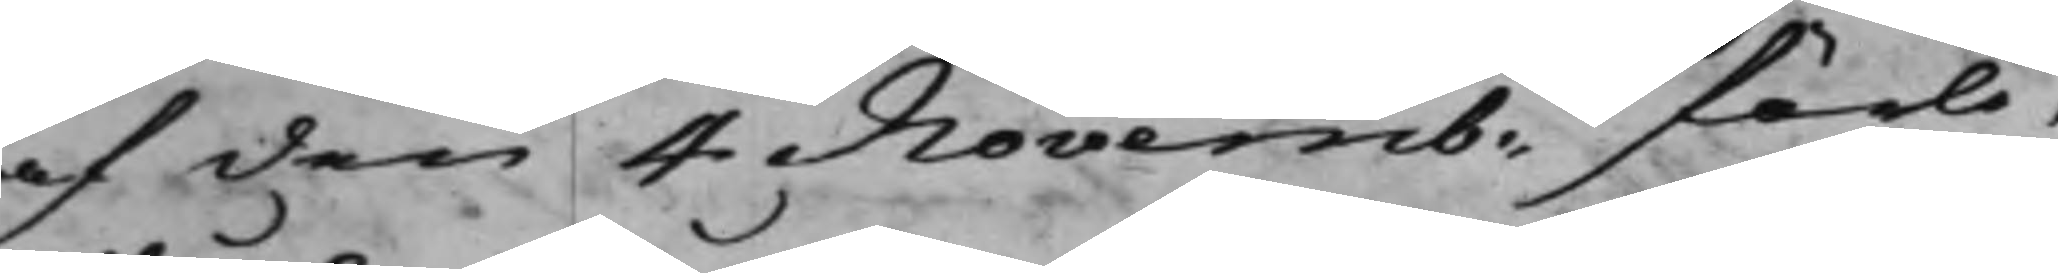af den 4 Novemb: förle¬
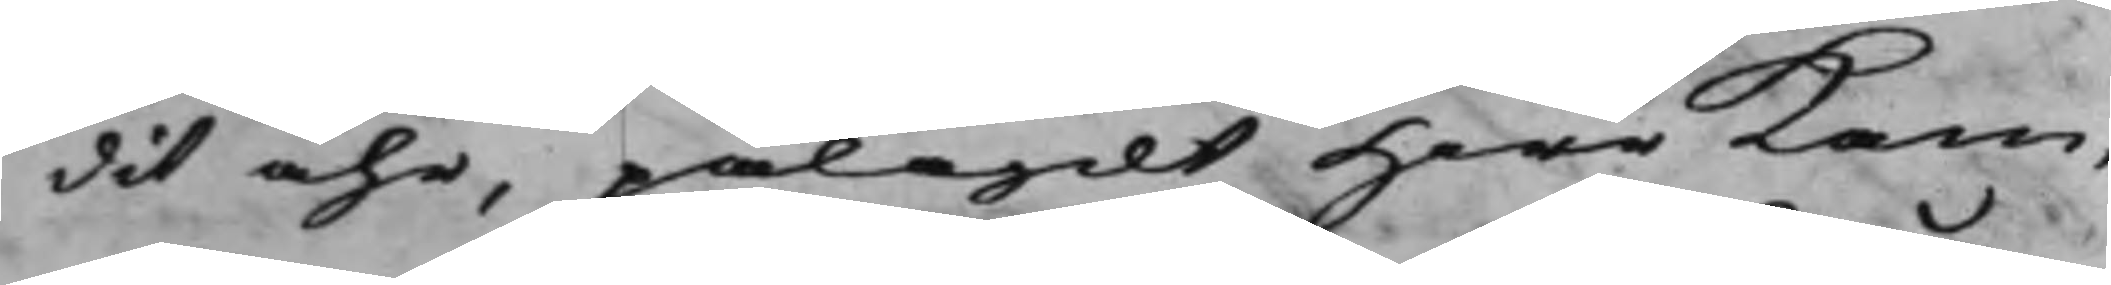dit åhr, pålagdt Herr Kam¬
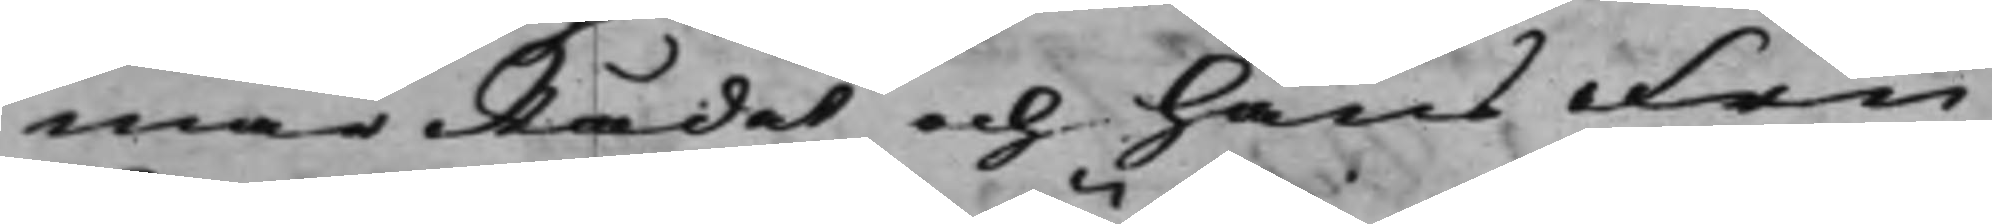marRådet och hans Fru
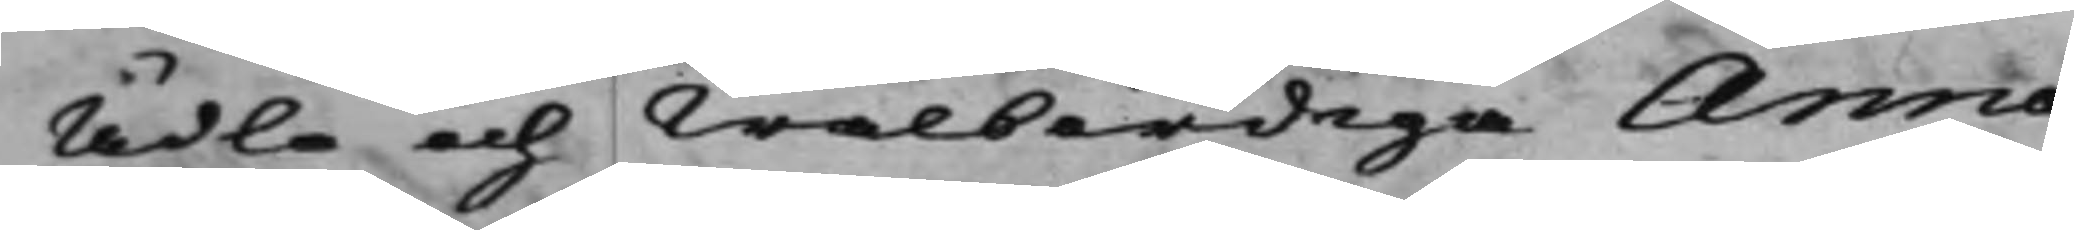Ädla och Wälbördiga Anna
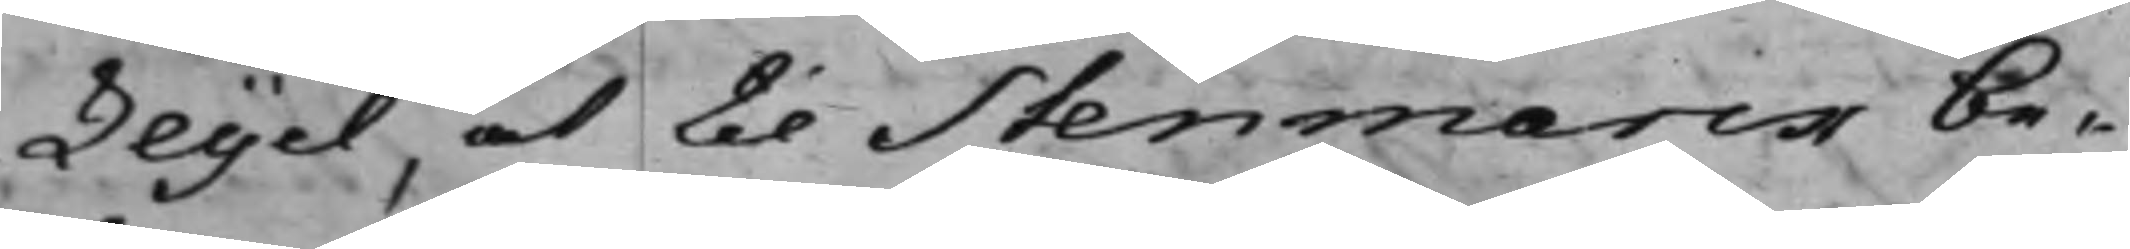Leijel, at til Stenmarck be¬
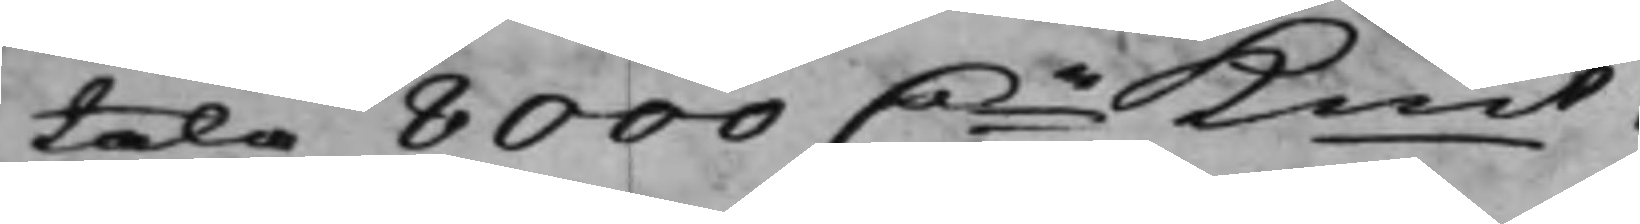tala 8000 Dr Kmt.
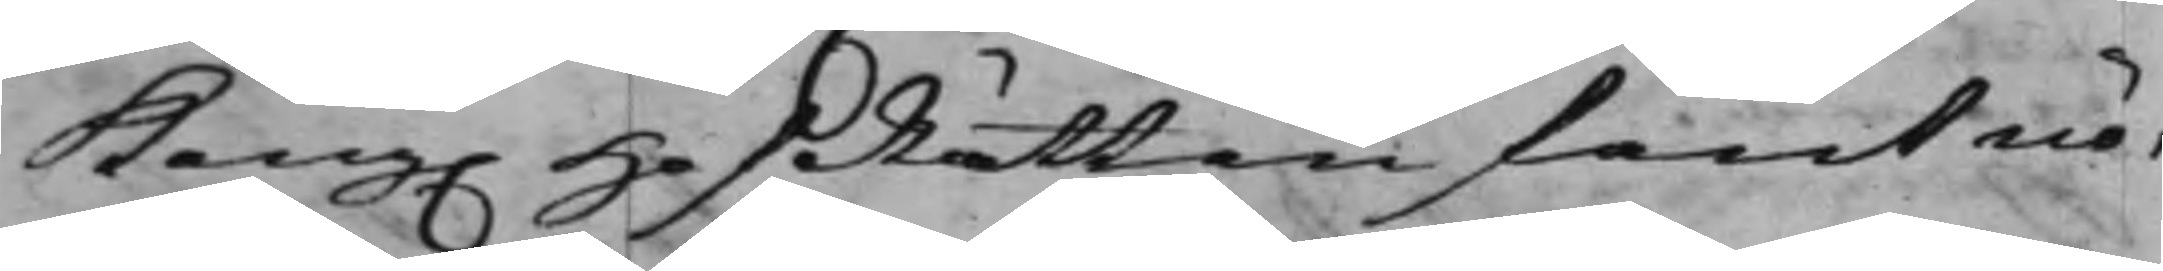Kong. HofRätten fant nö¬
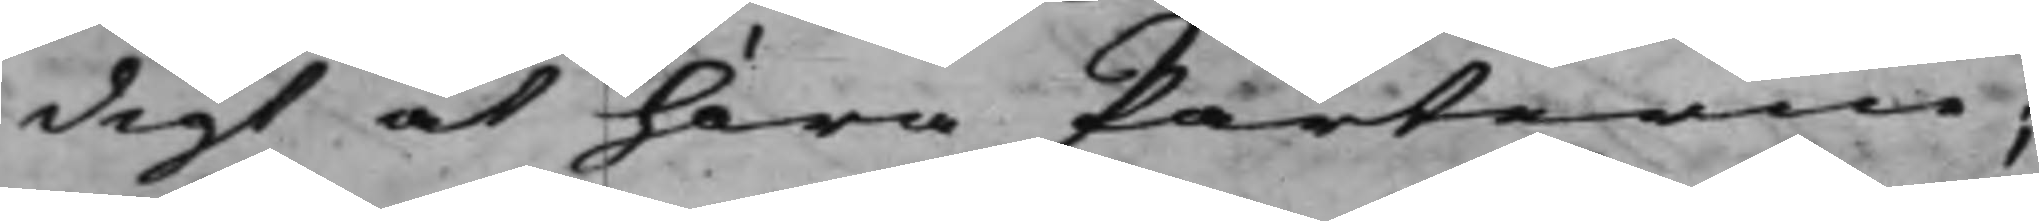digt at höra Parterne;
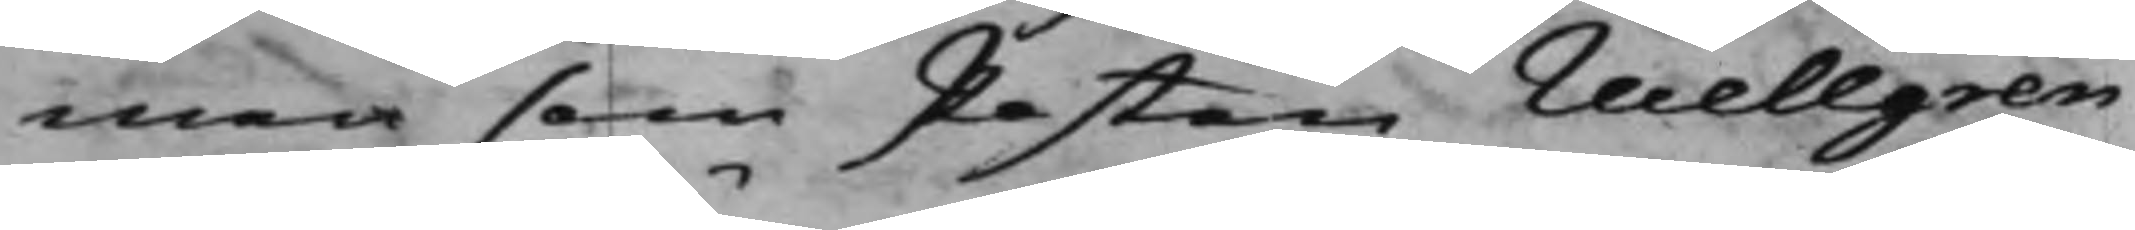men som Posten Wellgren
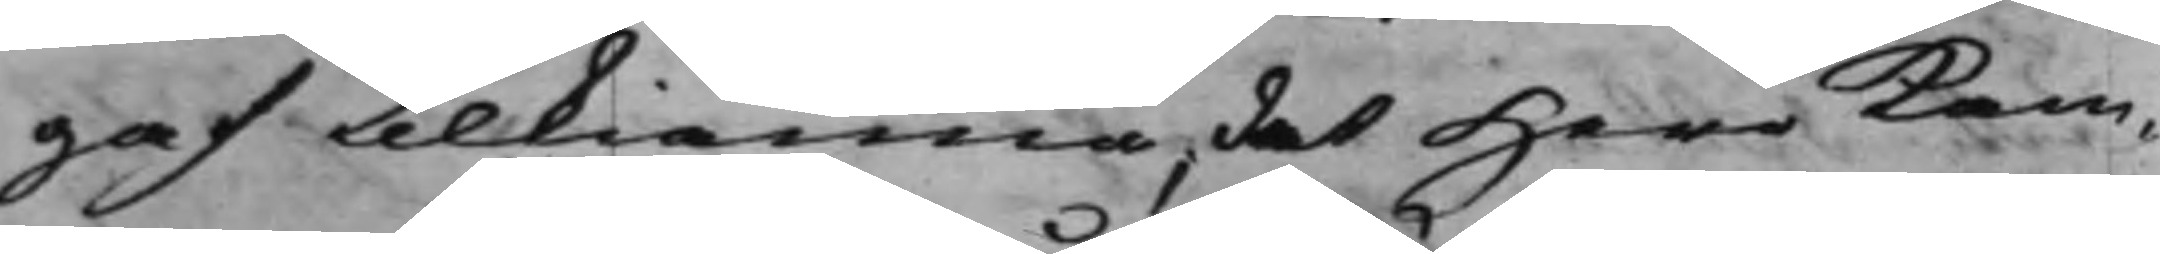gaf tilkiänna, det Herr Kam¬
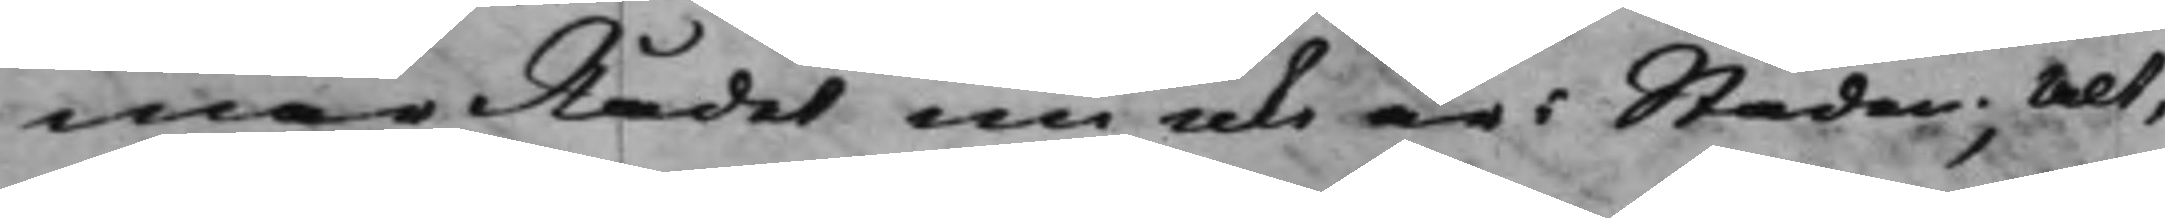marRådet nu icke är i Staden; Alt¬
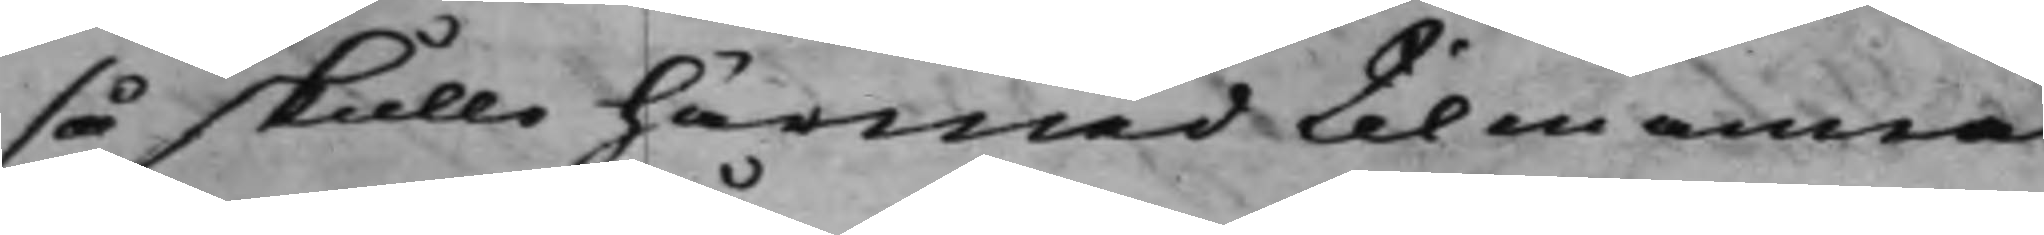så skulle härmed til en annan
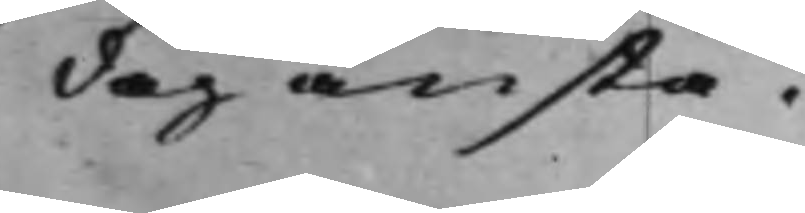dag anstå.
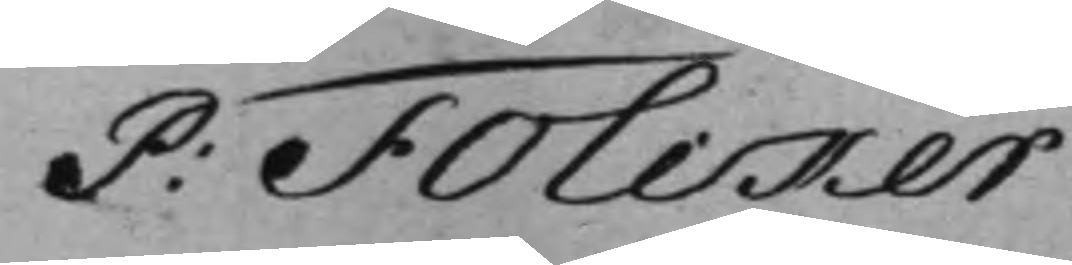P: Folcker
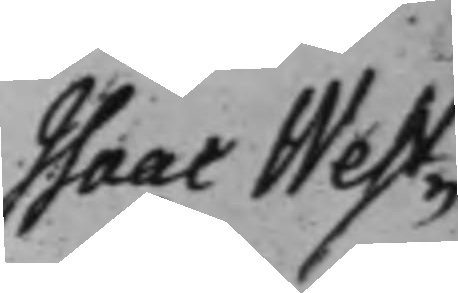Isaac West¬
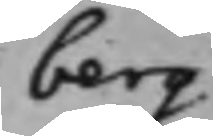berg
